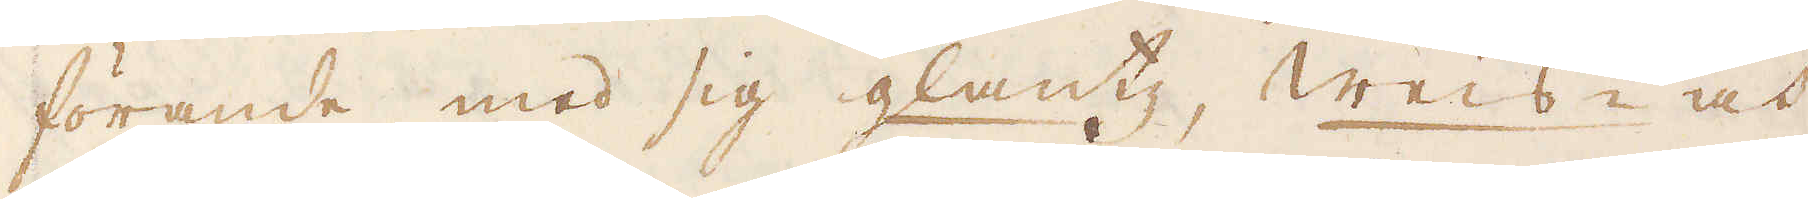förande med sig glantz, weis- och
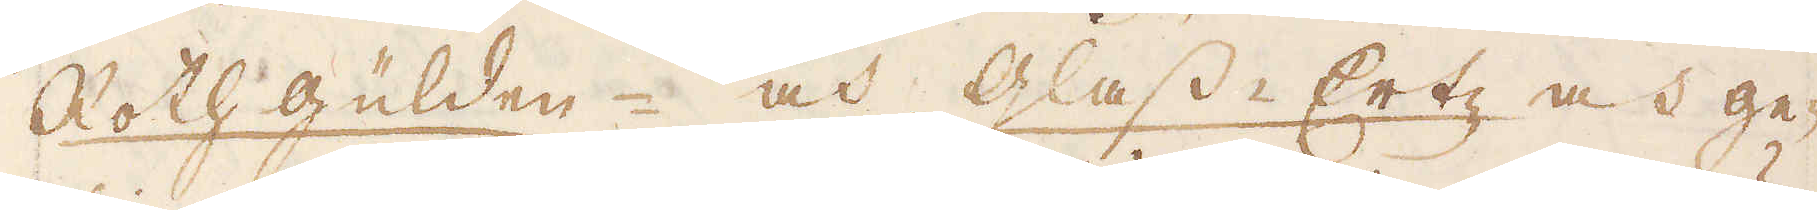Rothgülden och Glass-Ertz, och ge-
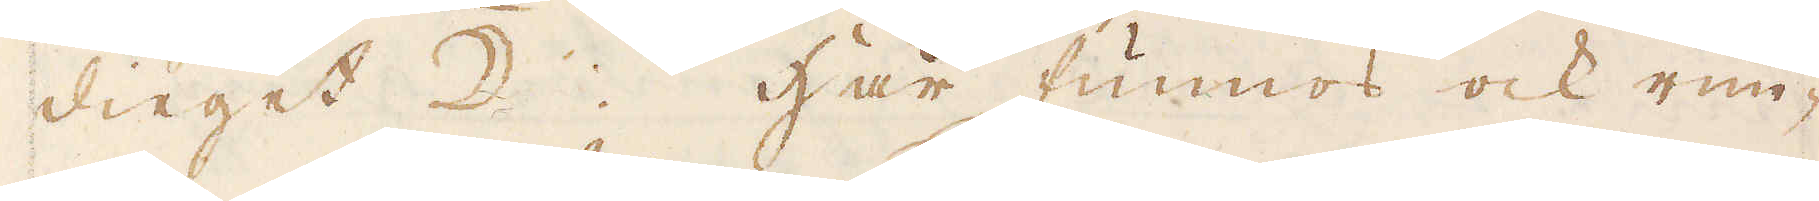dieget ☽. Här funnos ock run-
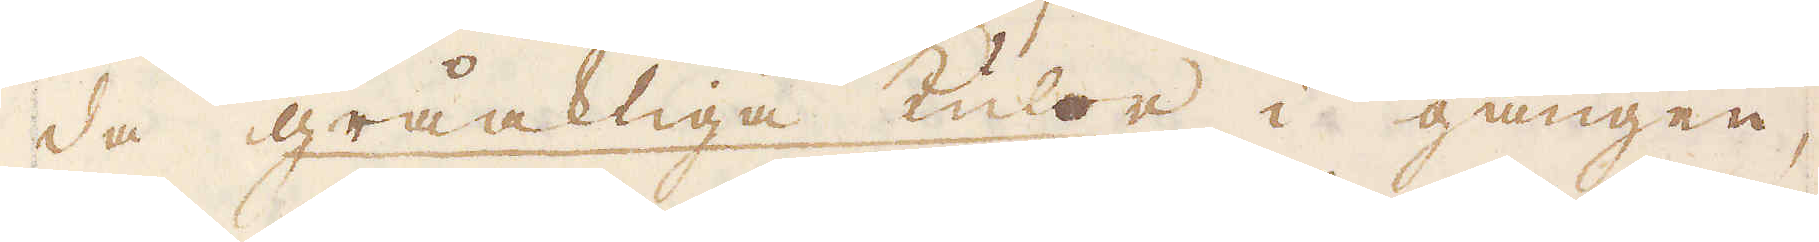da gråaktiga kulor i gången,
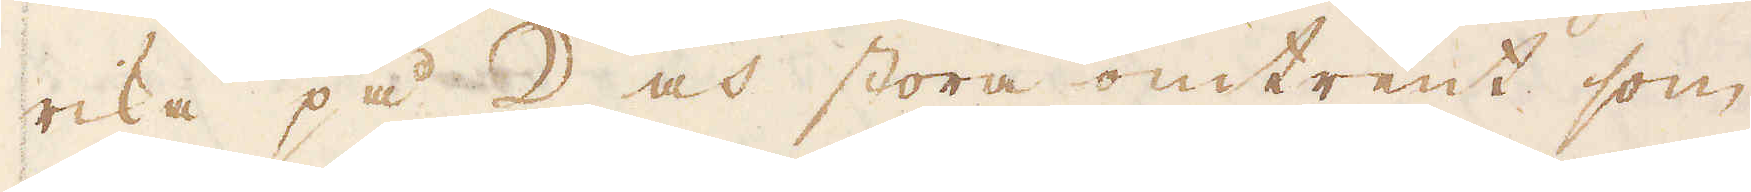rika på ☽ och stora omtrent som
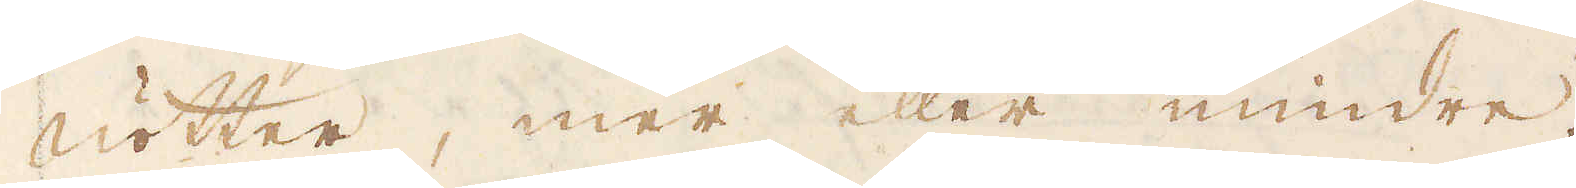nötter, mer eller mindre.
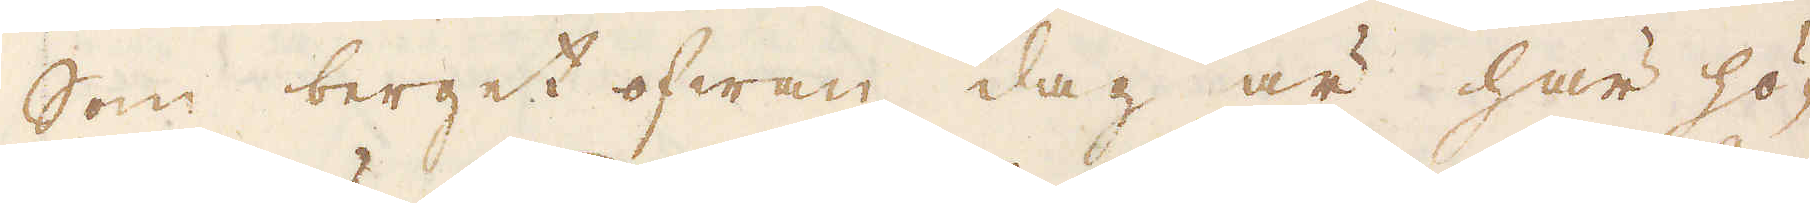Som berget ofwan dag är här hö-
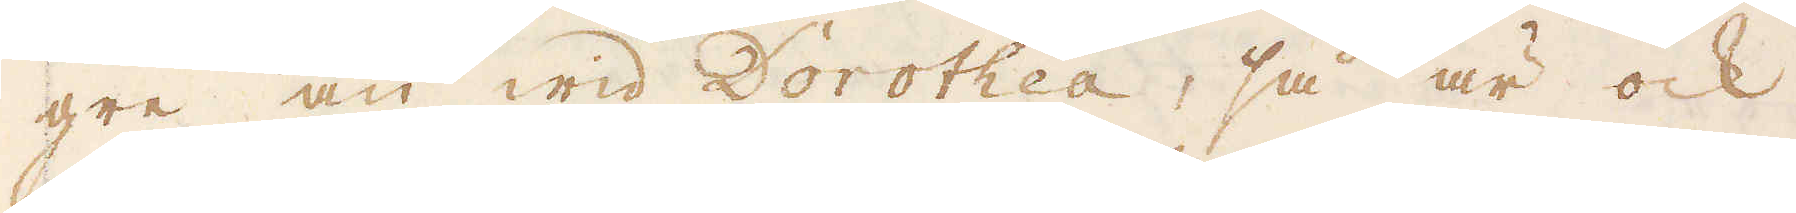gre än wid Dorothea, så är ock
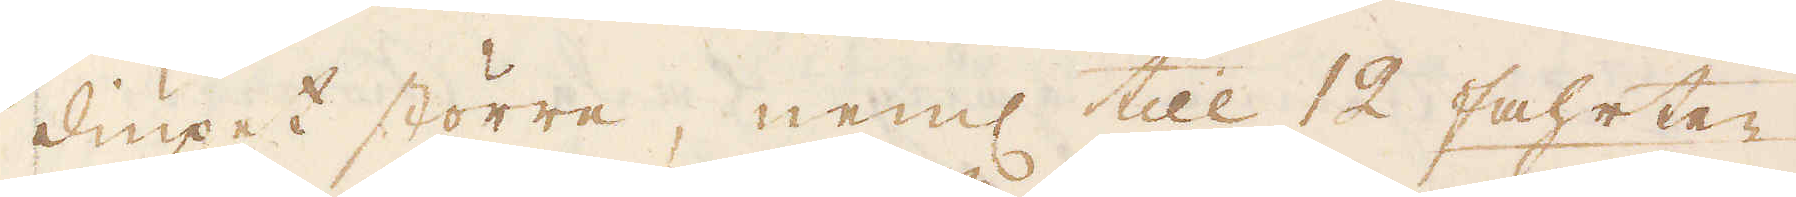diupet större, neml till 12 fahrter
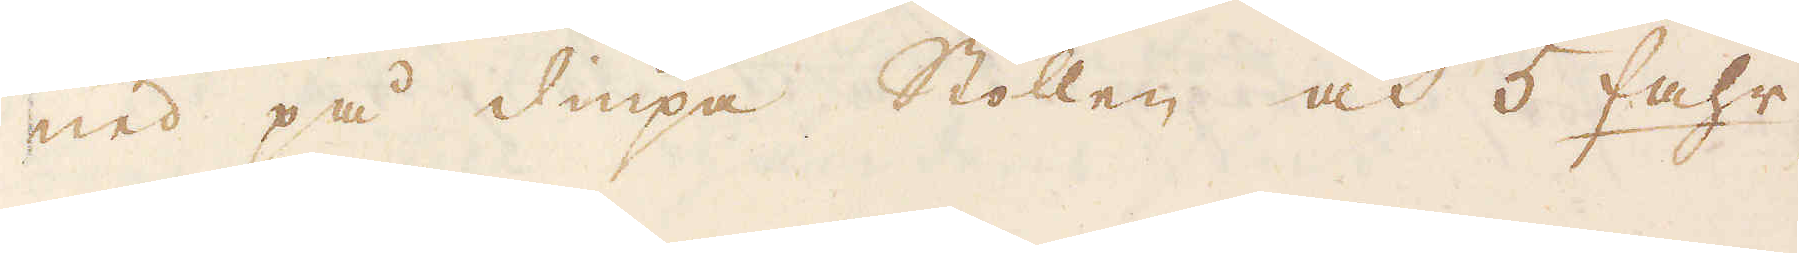ned på diupa Stollen och 5 fahr-
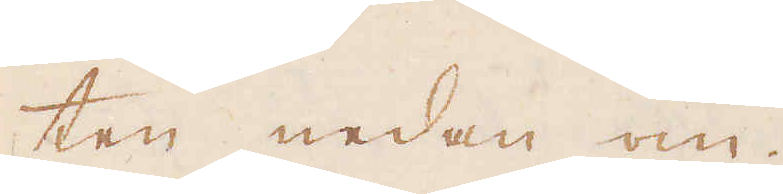ten nedan om.
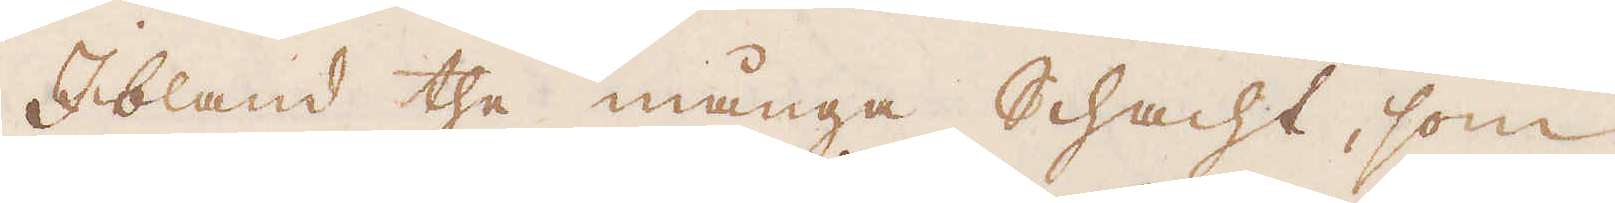Ibland the många schacht, som
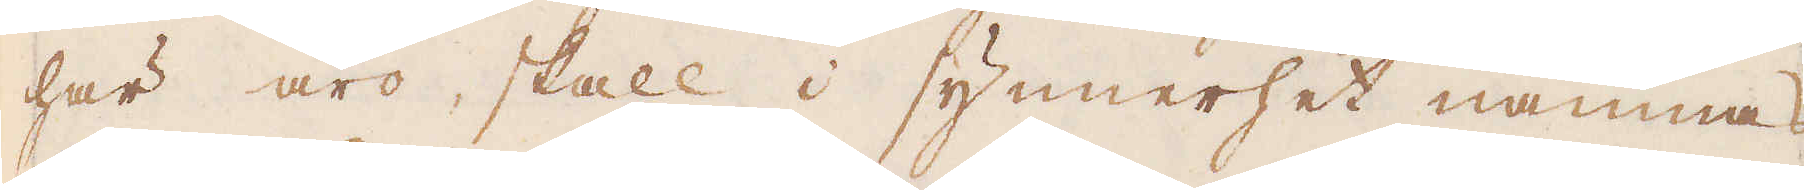här äro, skall i synnerhet nämnas
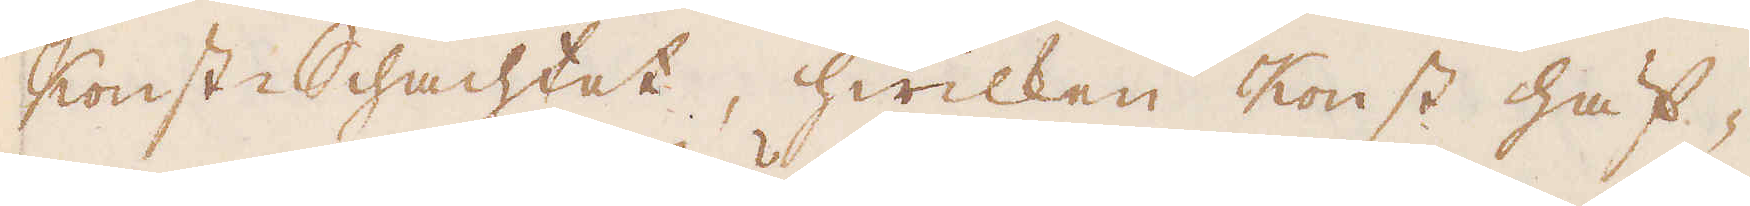Konst-Schachtet, hwilken Konst häf-
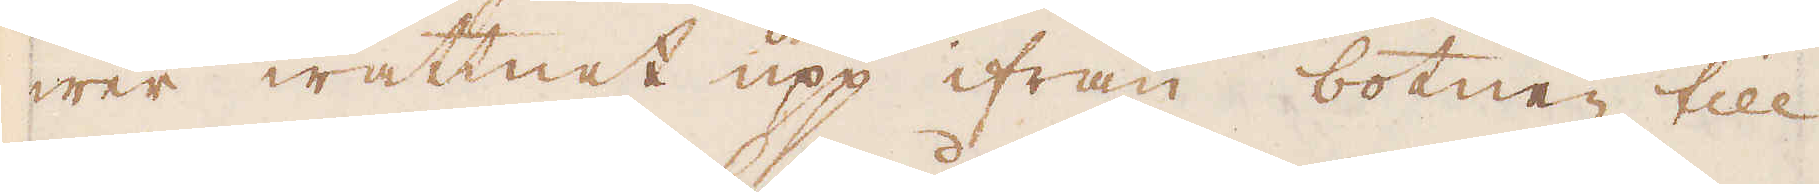wer wattnet upp ifrån botnen till
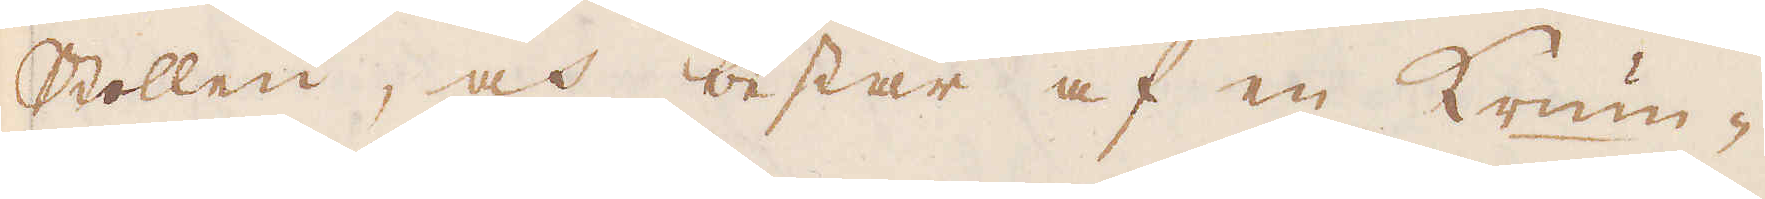Stollen, och består af en Krum-
